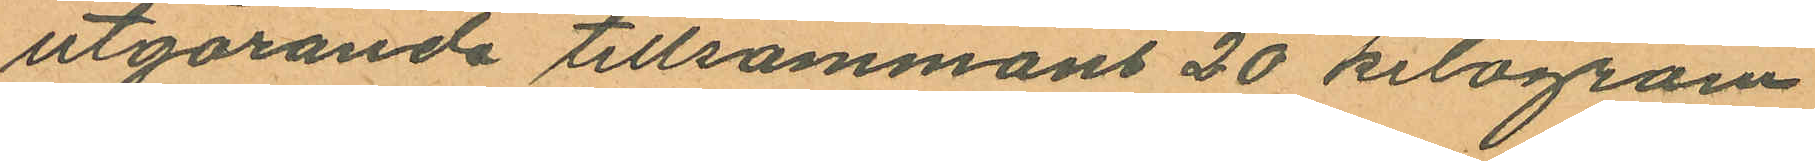utgörande tillsammans 20 kilogram
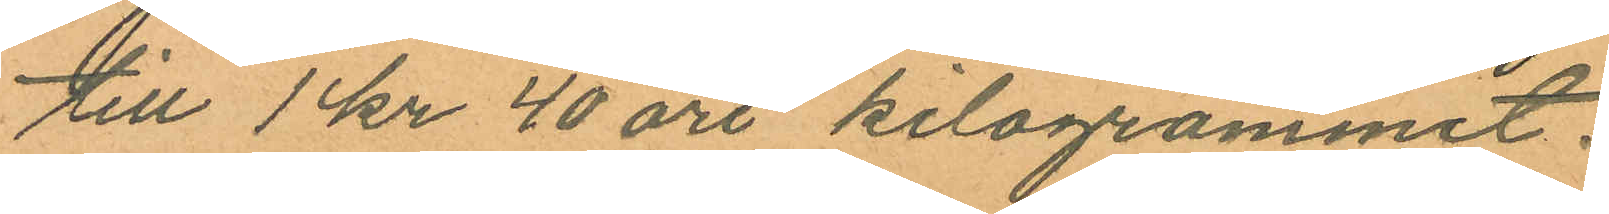till 1 kr 40 öre kilogrammet.
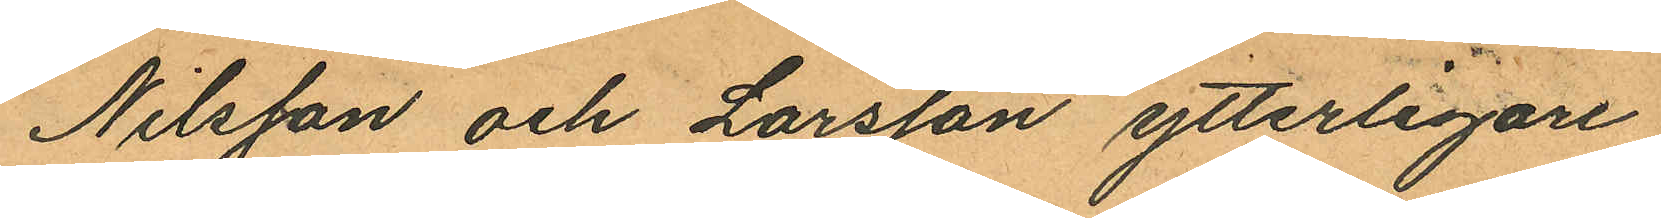Nilsson och Larsson ytterligare
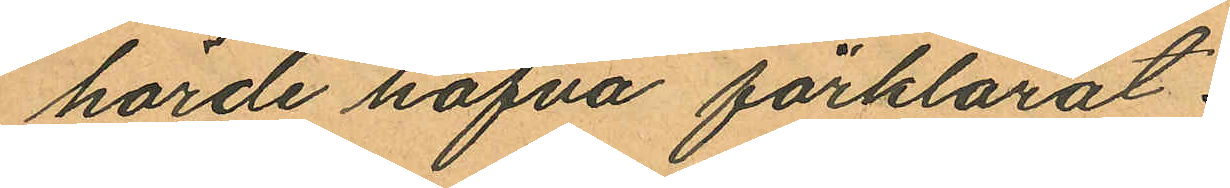hörde hafva förklarat:
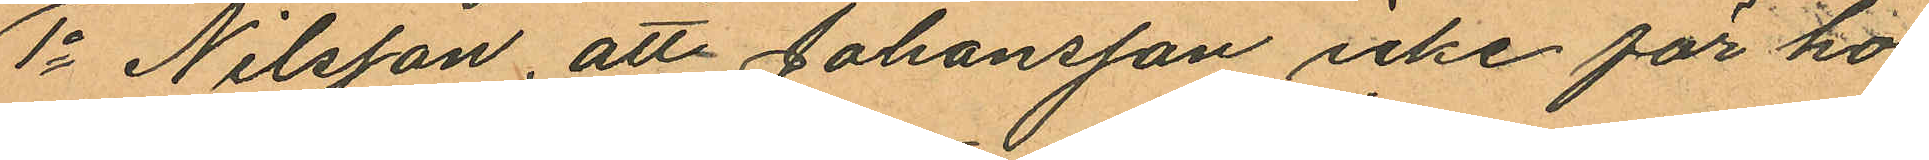1o Nilsson, att Johansson icke för ho¬
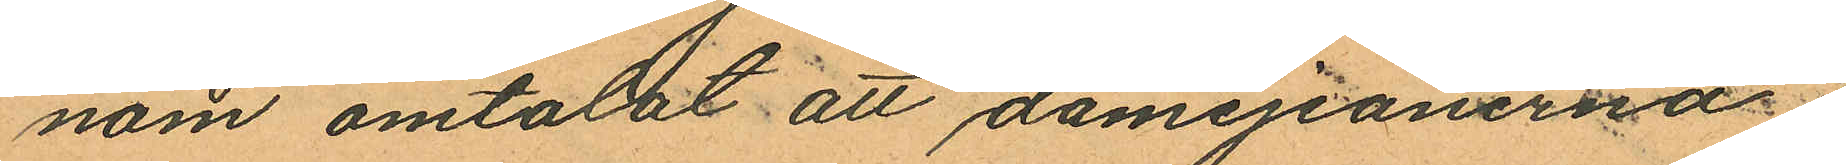nom omtalat att damejeanerna
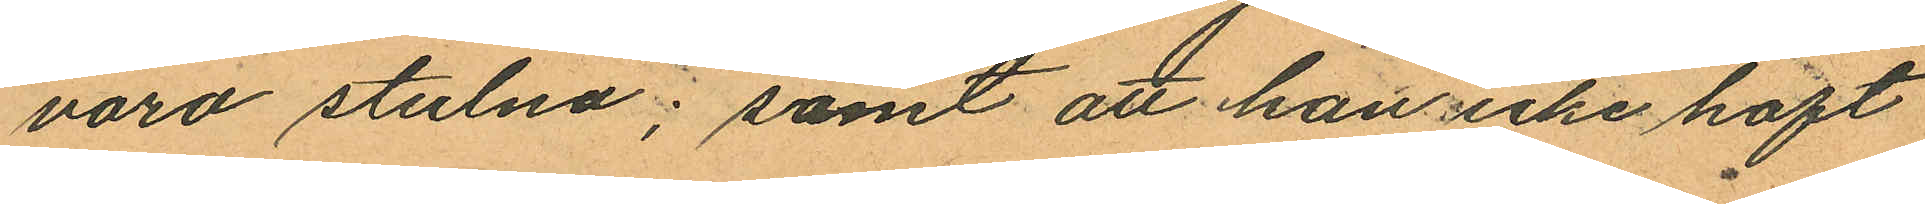voro stulna; samt att han icke haft
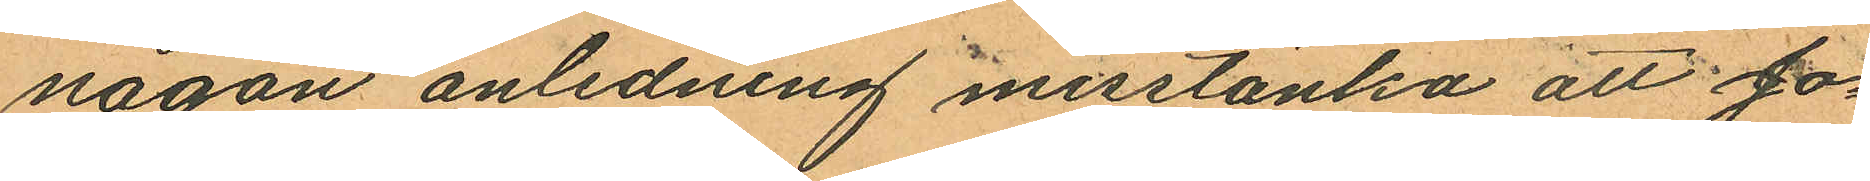någon anledning misstänka att Jo¬
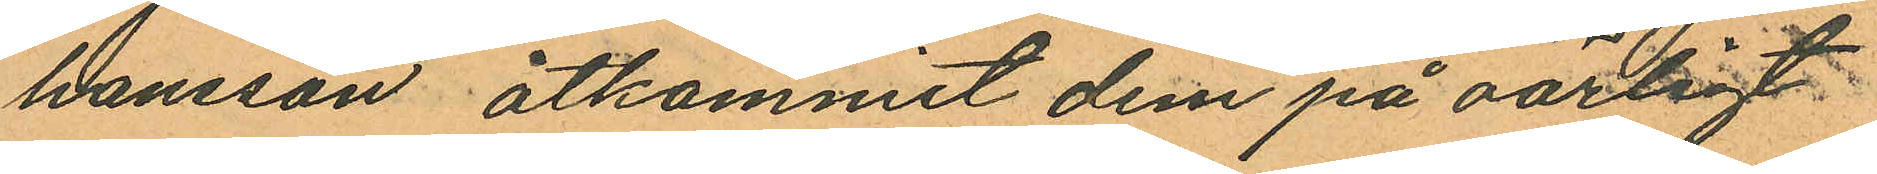hansson åtkommit dem på oärligt.
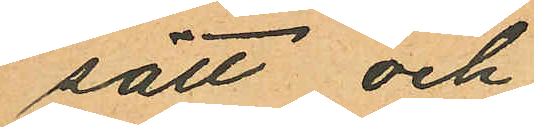sätt och
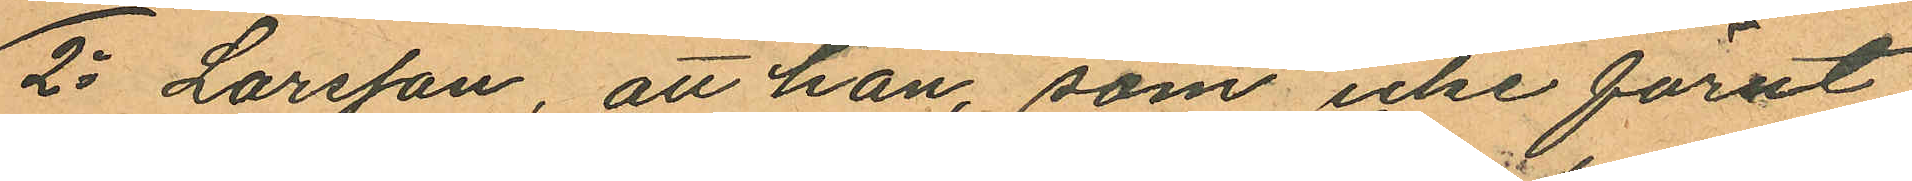2o Larsson, att han, som icke förut
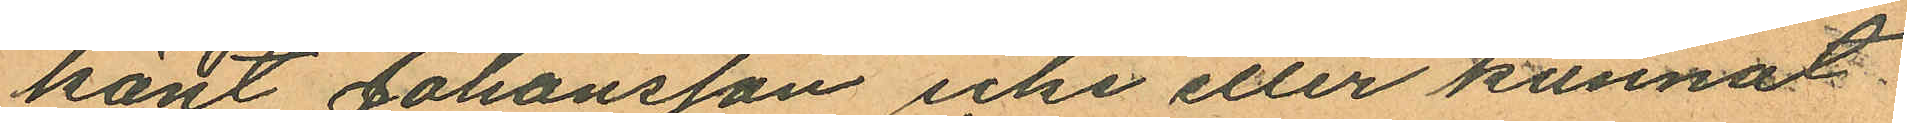känt Johansson icke eller kunnat
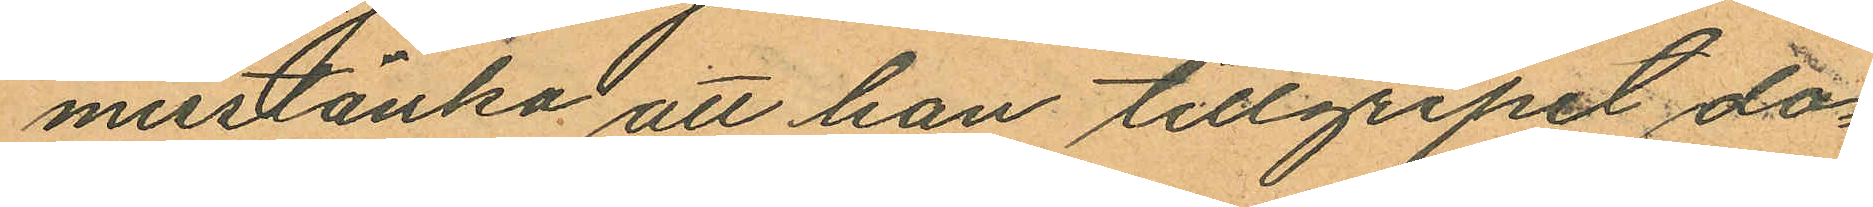misstänka att han tillgripit da¬
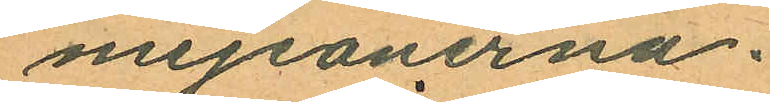mejeanerna.
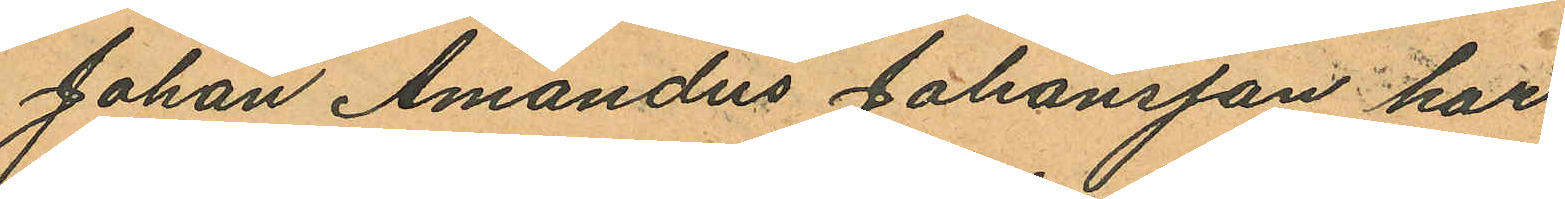Johan Amandus Johansson har
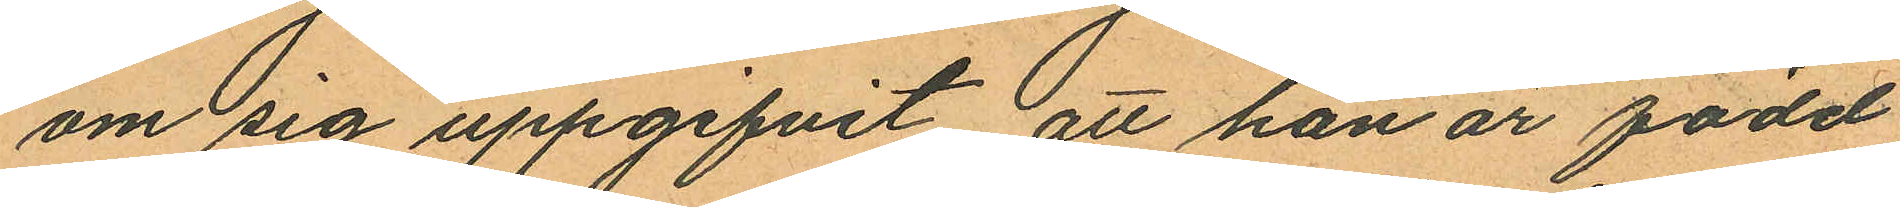om sig uppgifvit att han är född
